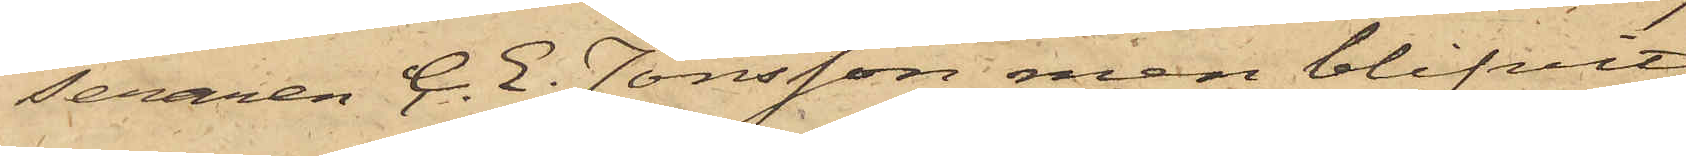seraren C. E. Jönsson men blifvit
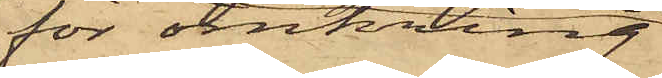för omkring
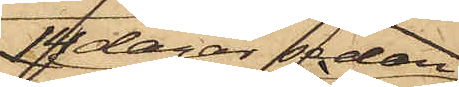14 dagar sedan
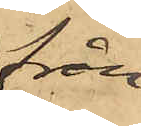från
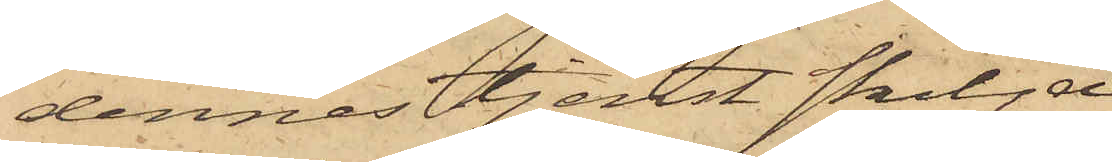dennes tjenst skiljd
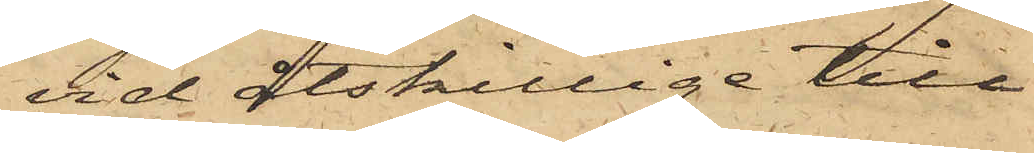vid åtskillige till¬
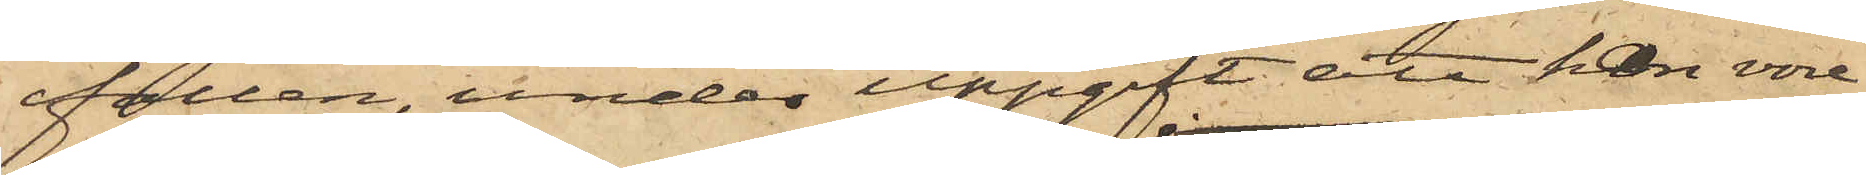fällen, under uppgift att han vore
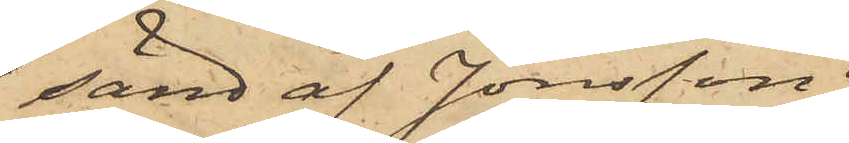sänd af Jönsson.
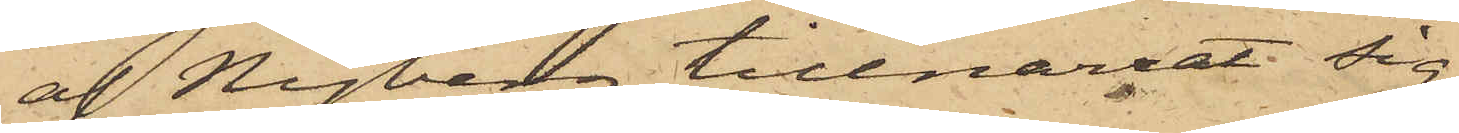af Nyberg tillnarrat sig
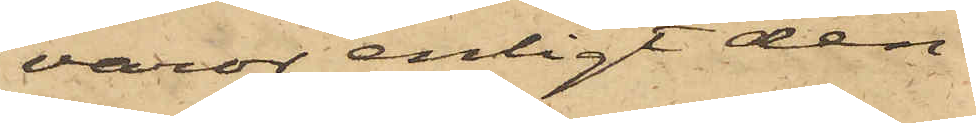varor enligt den¬
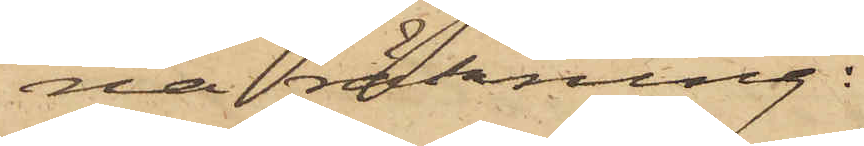na räkning
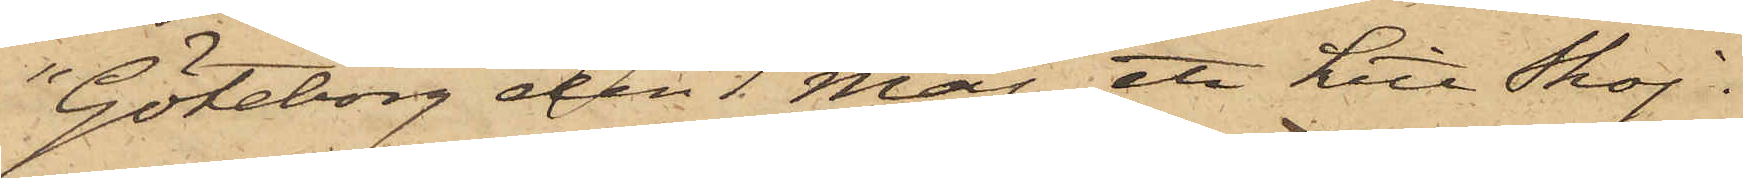"Göteborg den 1 Maj, etc Litt Skoj:
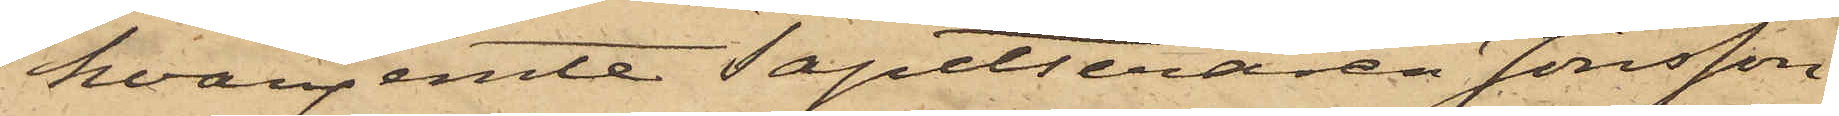hvarjemte Tapetseraren Jönsson,
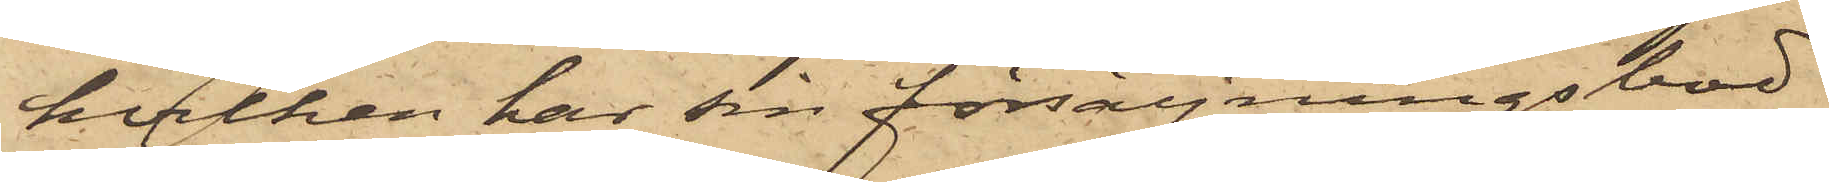hvilken har sin försäljningsbod
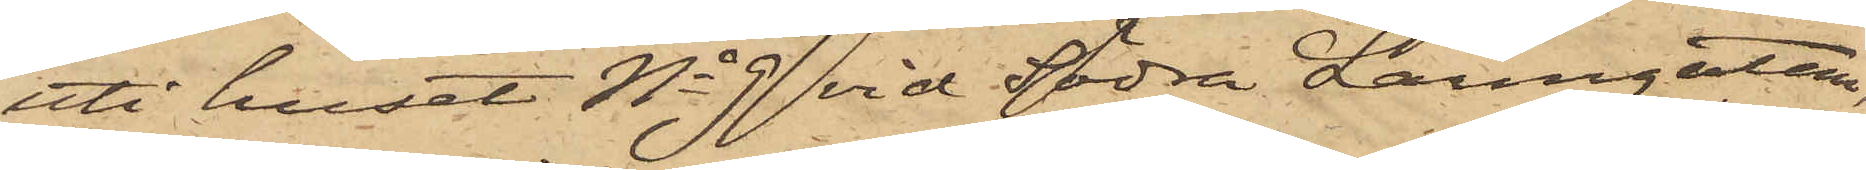uti huset No 9 vid Södra Larmgatan,
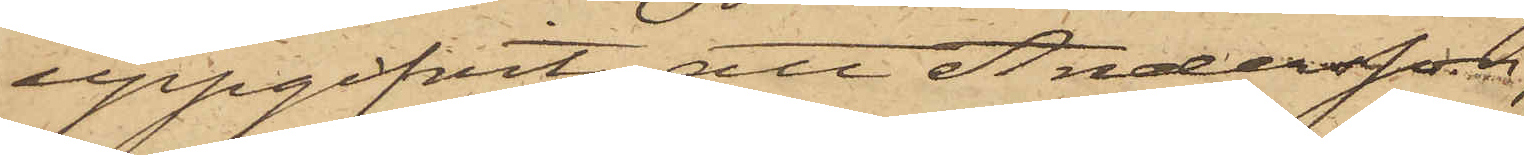uppgifvit, att Andersson,
